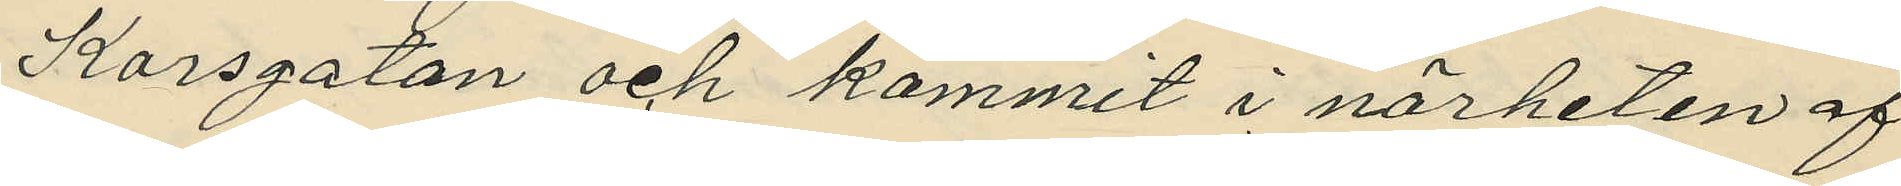Korsgatan och kommit i närheten af
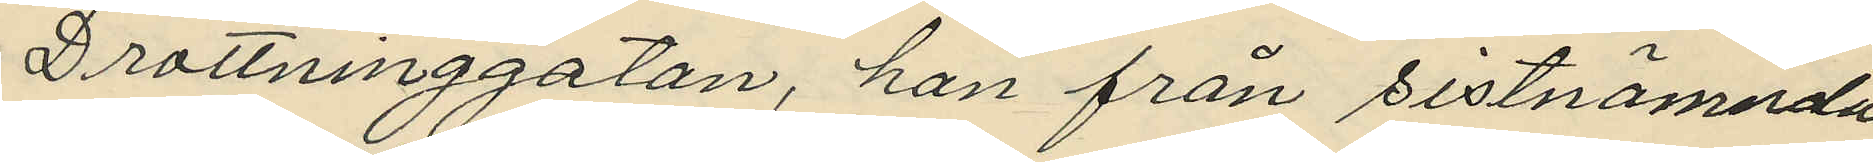Drottninggatan, han från sistnämnda
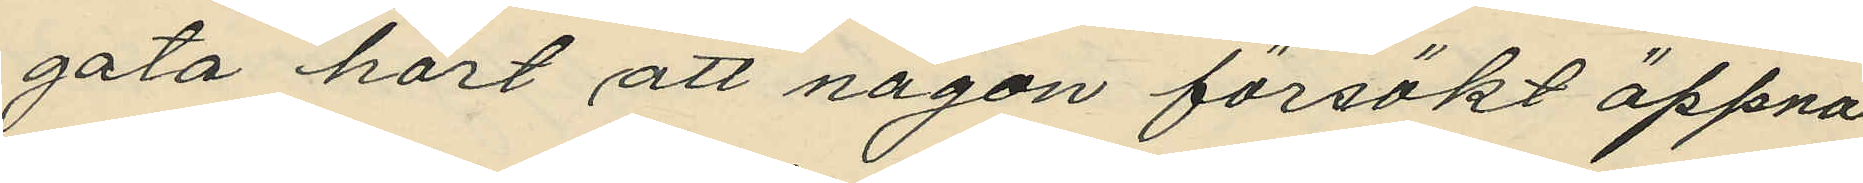gata hört att någon försökt öppna
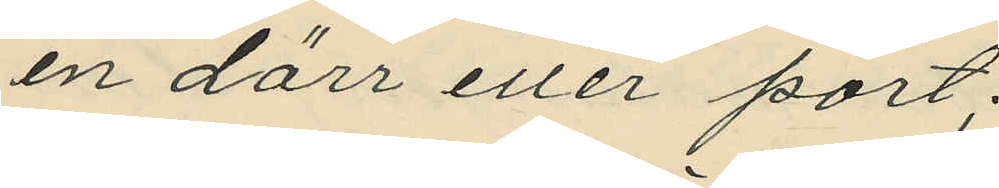en dörr eller port;
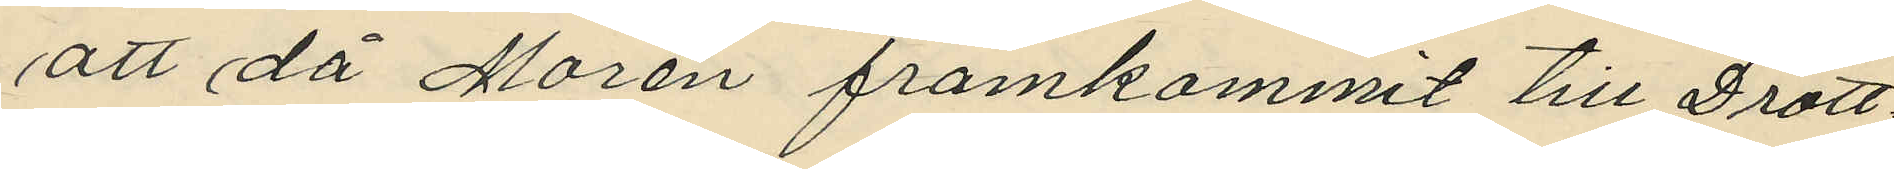att då Morén framkommit till Drott¬
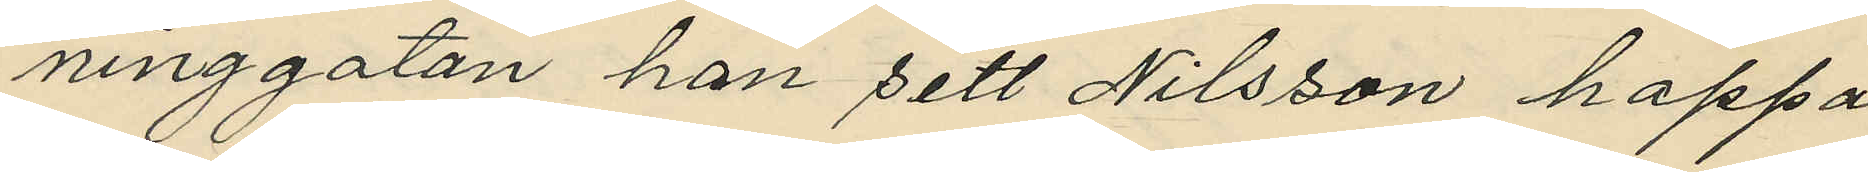ninggatan han sett Nilsson hoppa
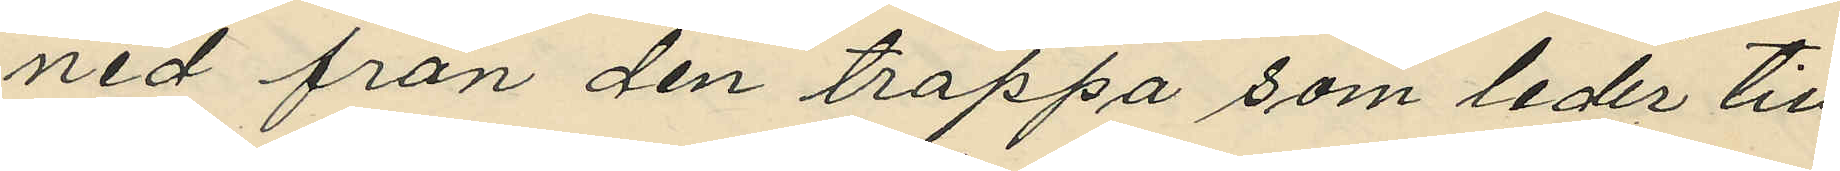ned från den trappa som leder till
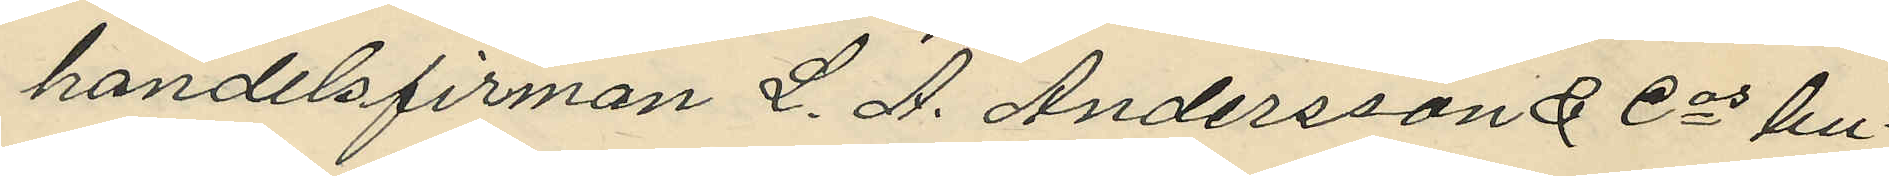handelsfirman L. A. Andersson & Cos bu¬
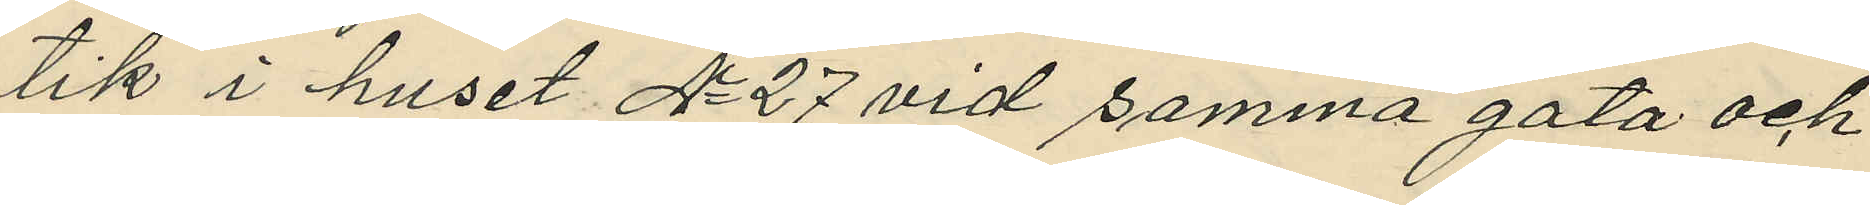tik i huset No 27 vid samma gata och
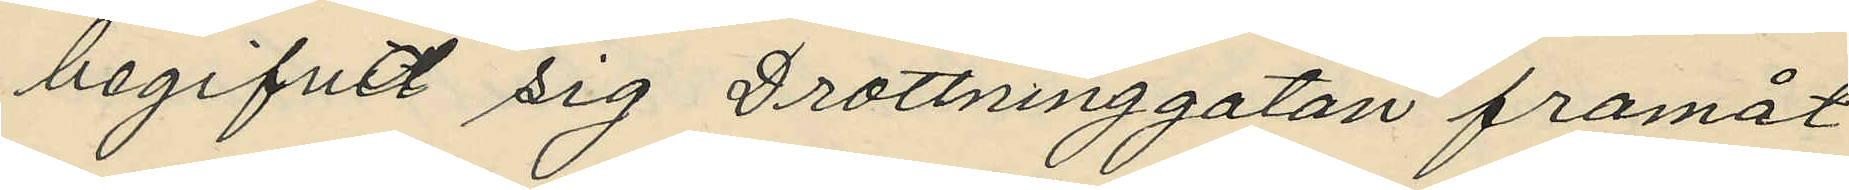begifvit sig Drottninggatan framåt
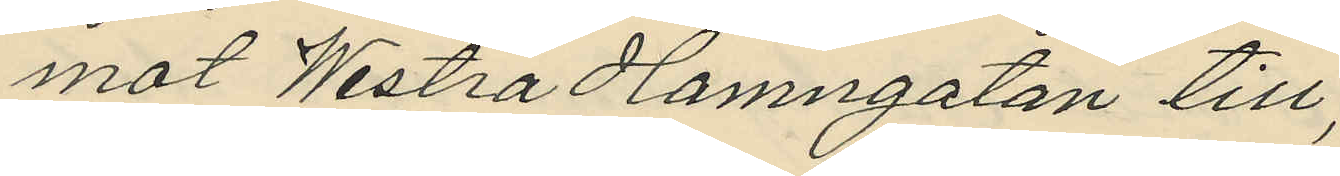mot Westra Hamngatan till;
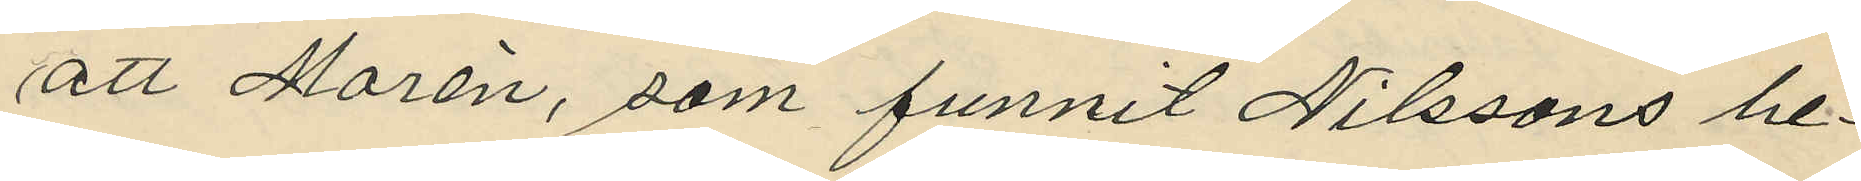att Morén, som funnit Nilssons be¬
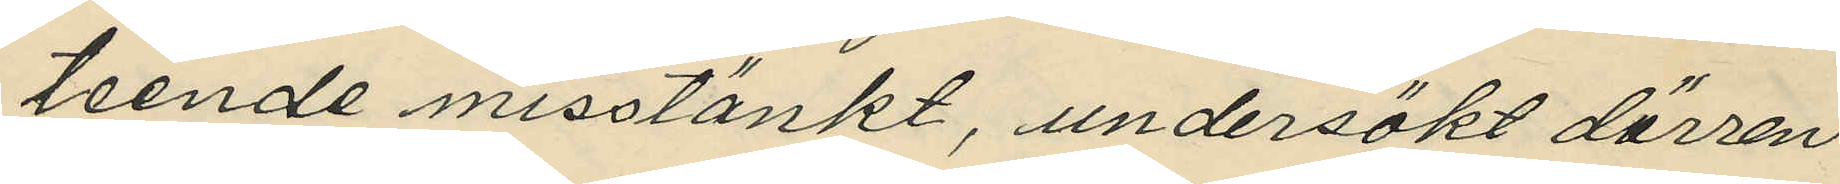teende misstänkt, undersökt dörren
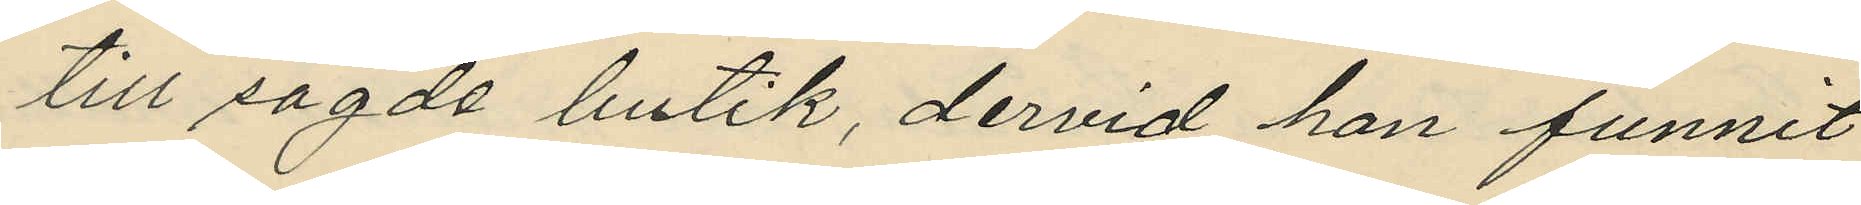till sagde butik, dervid han funnit
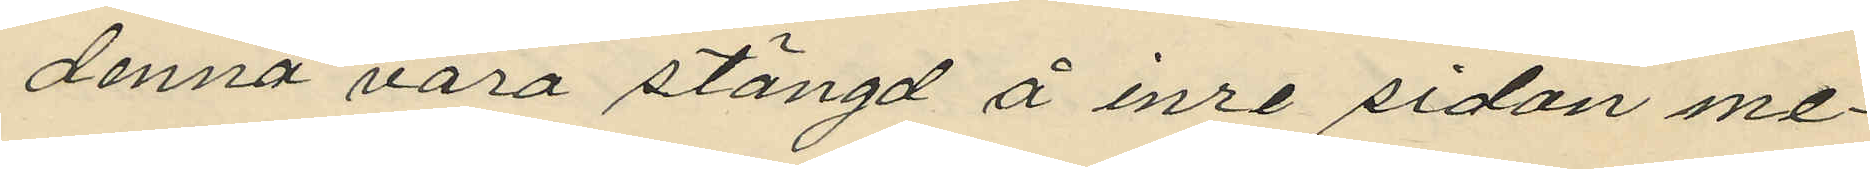denna vara stängd å inre sidan me¬
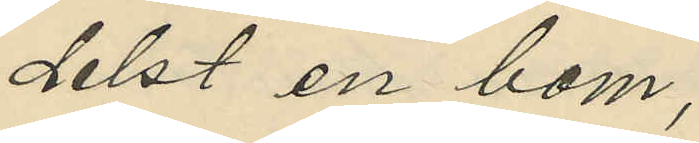delst en bom;
